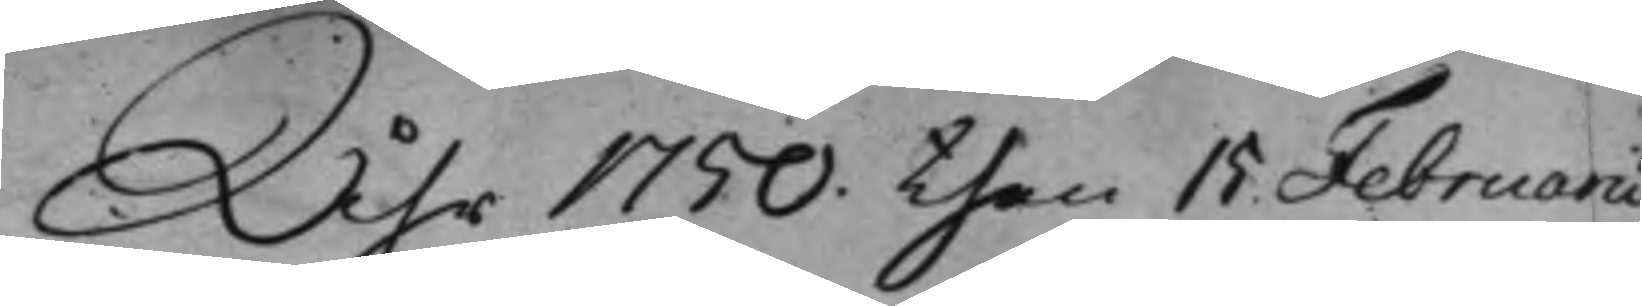Åhr 1750. then 15 Februarii
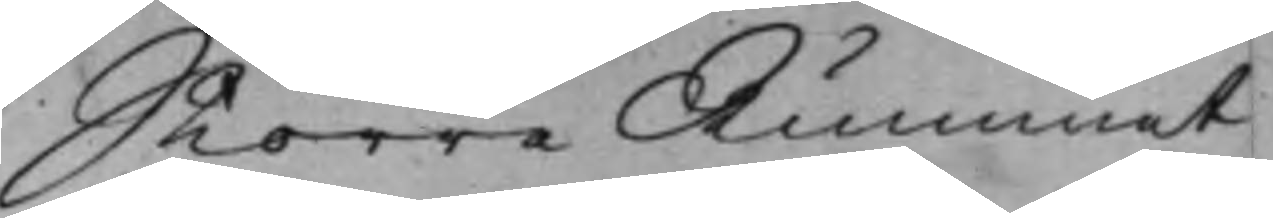Större Rummet
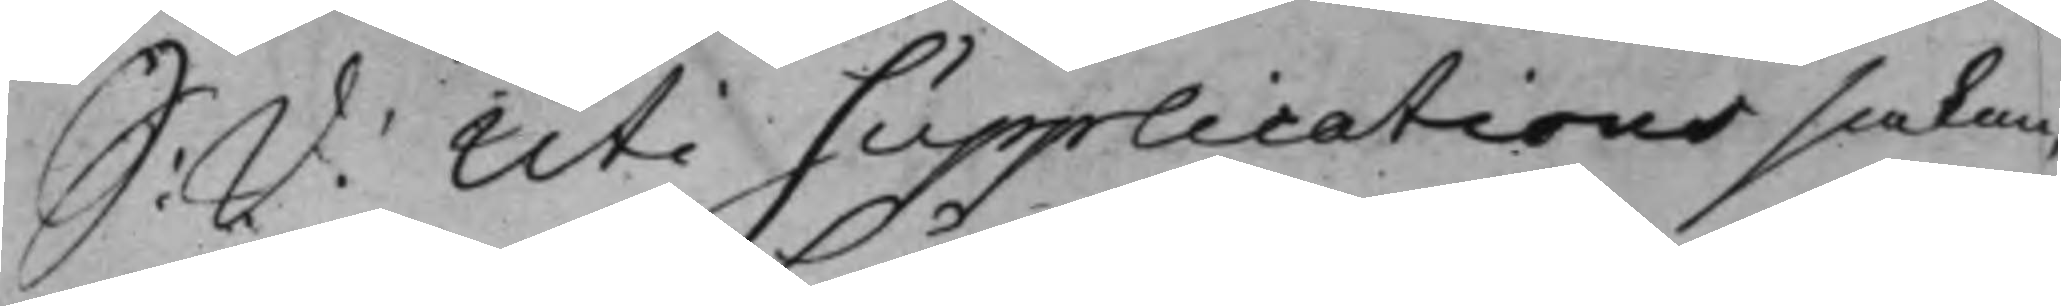S: d: Uti Supplicationssaken
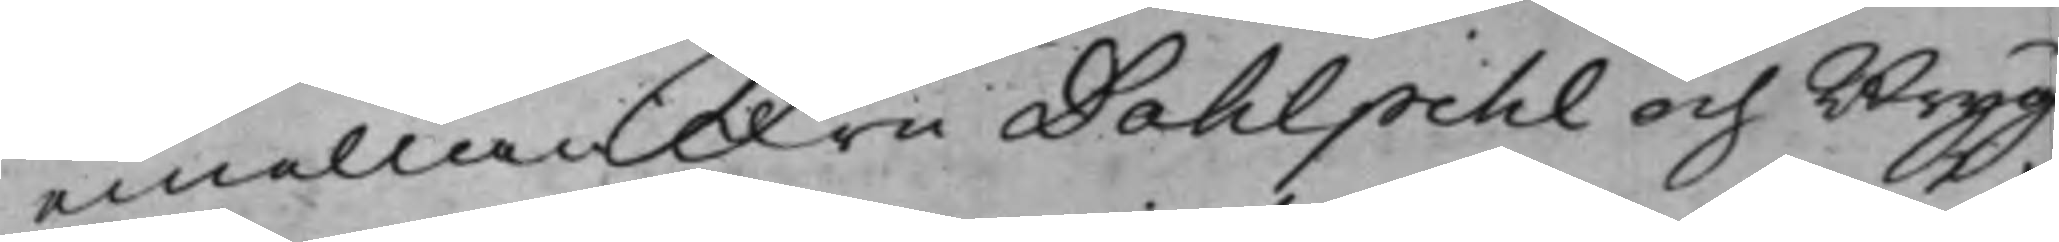emellan Fru Dahlpihl och Bryg¬
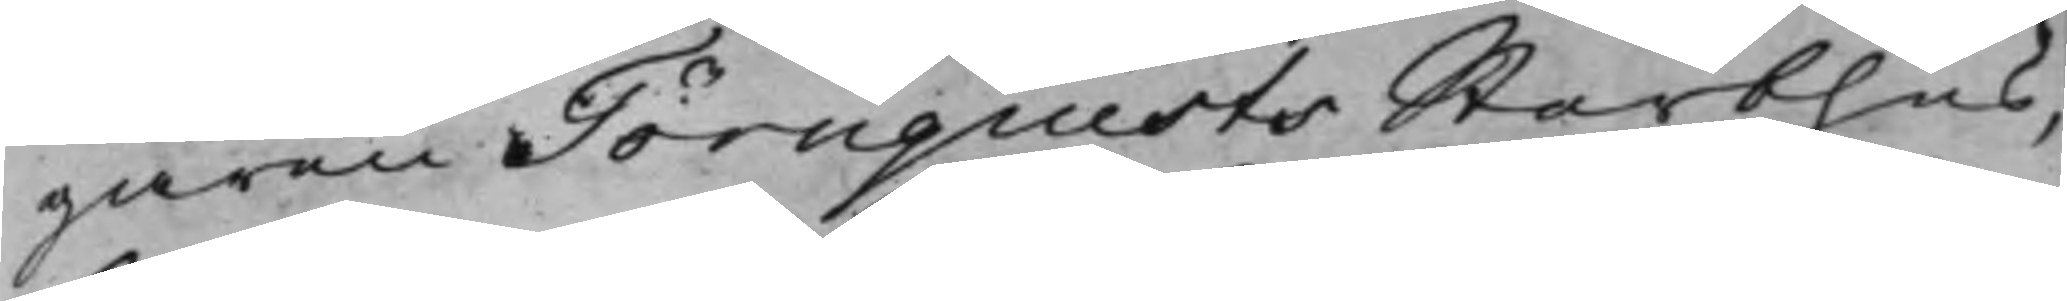garen Törnquists Sterbhus,
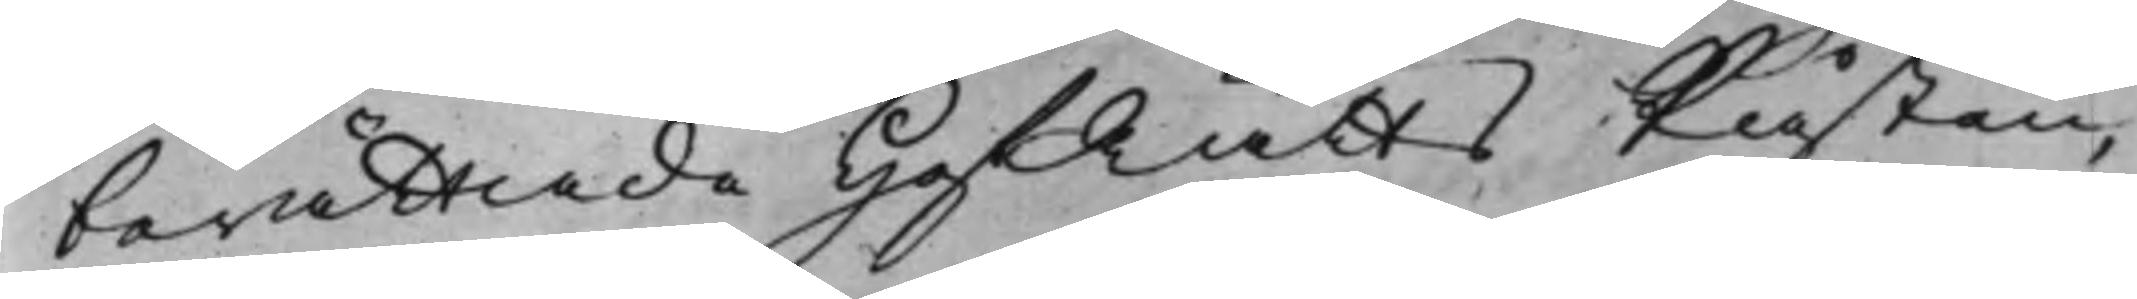berätade HofRätts Påsten,
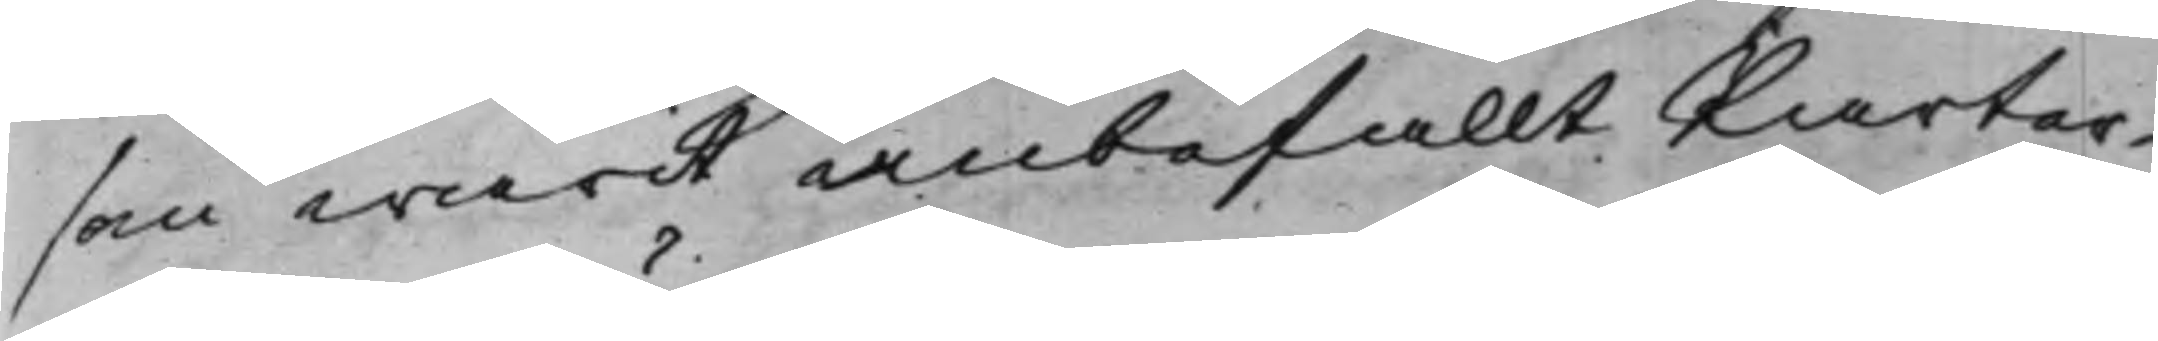som warit anbefallt Parter¬
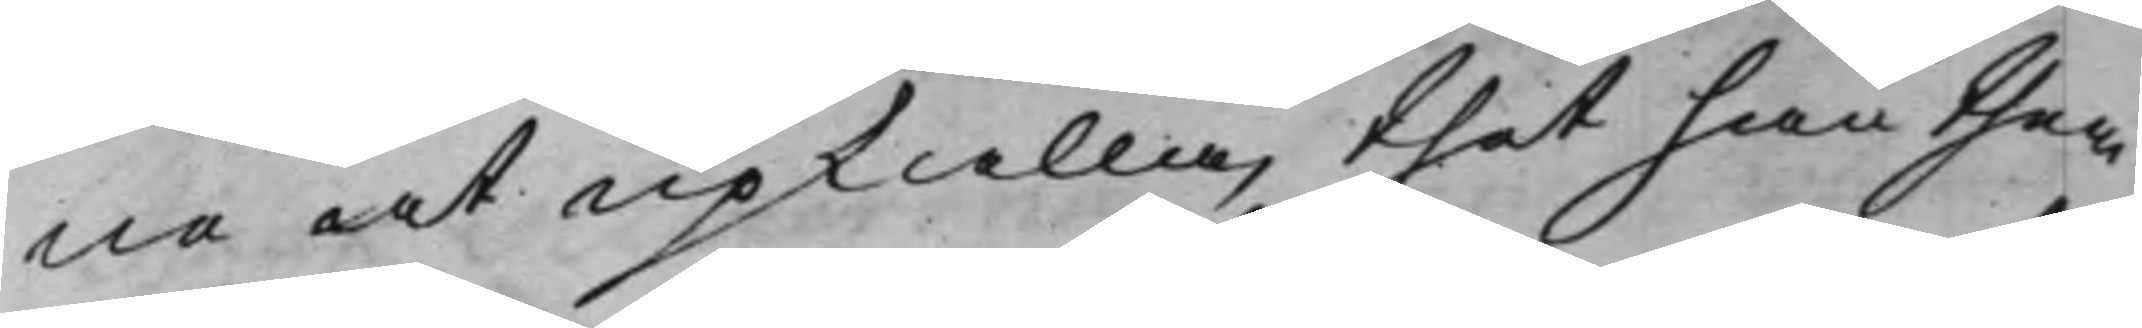ne at upkalla, thet han them
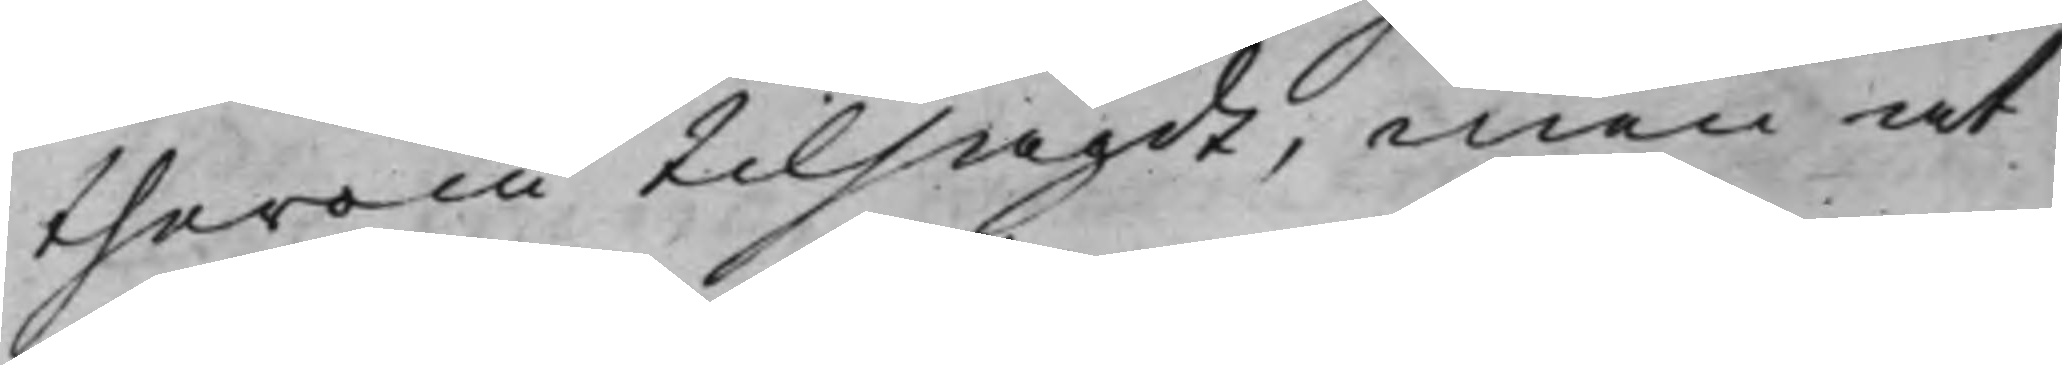therom tilsagdt, men at
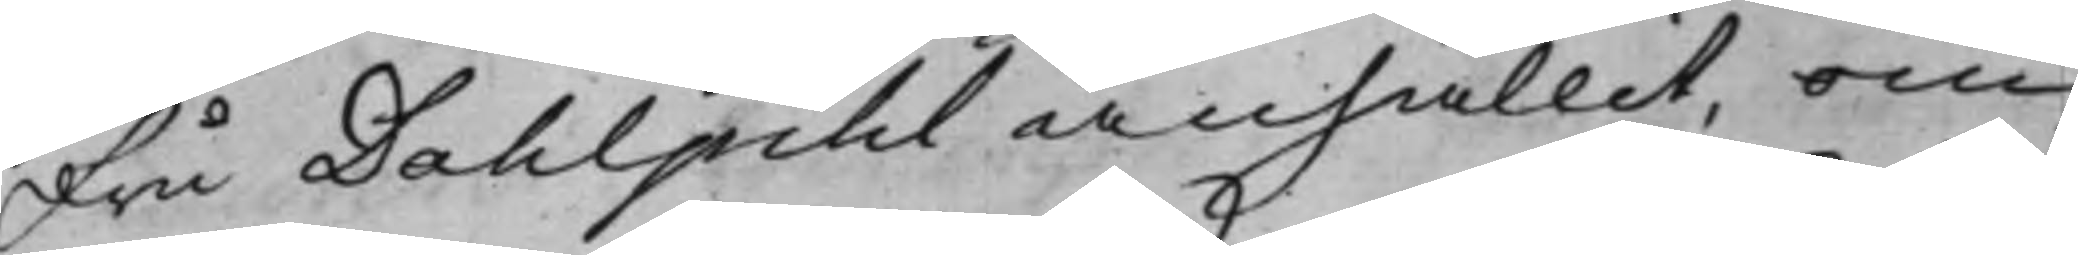Fru Dahlpihl anhållit, om
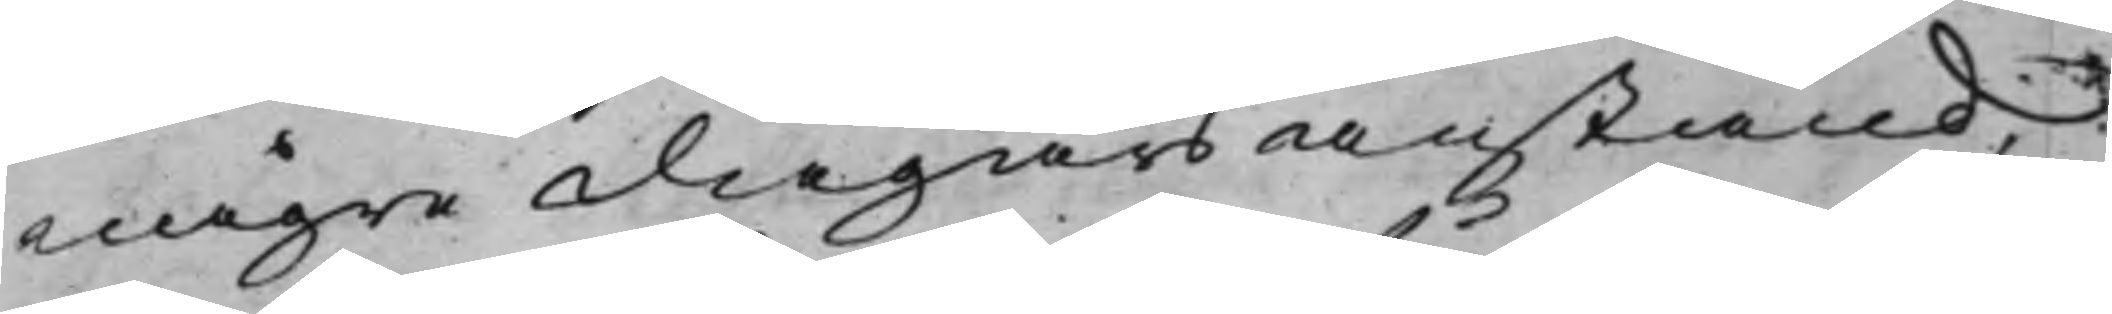någre dagars anstånd;
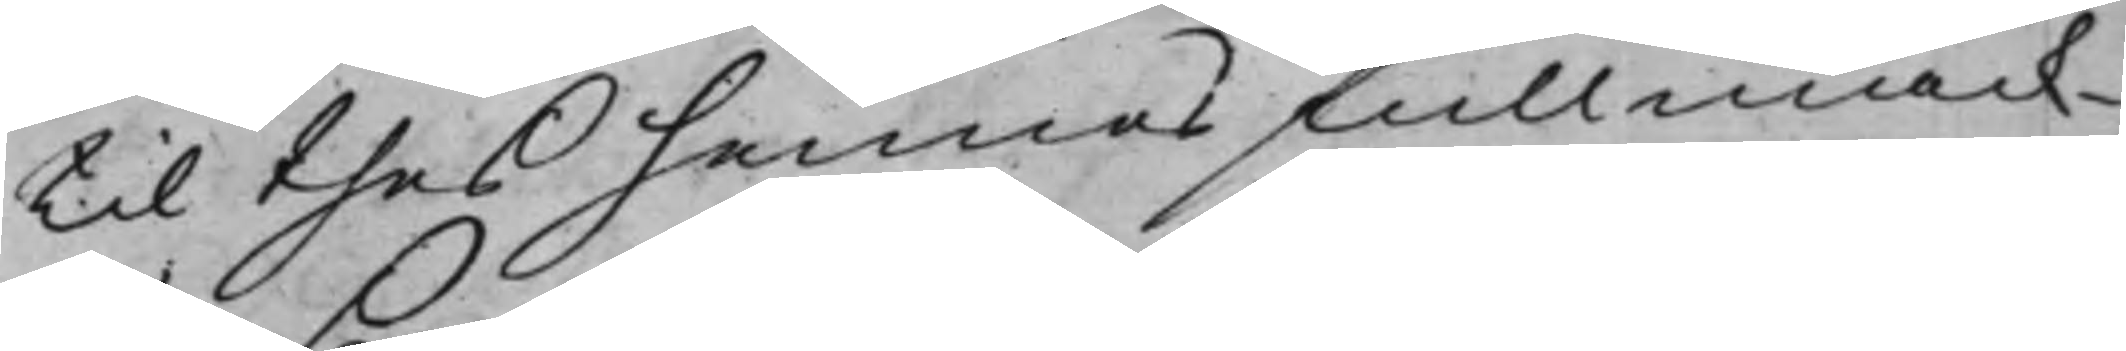til thes hennes fullmäck¬
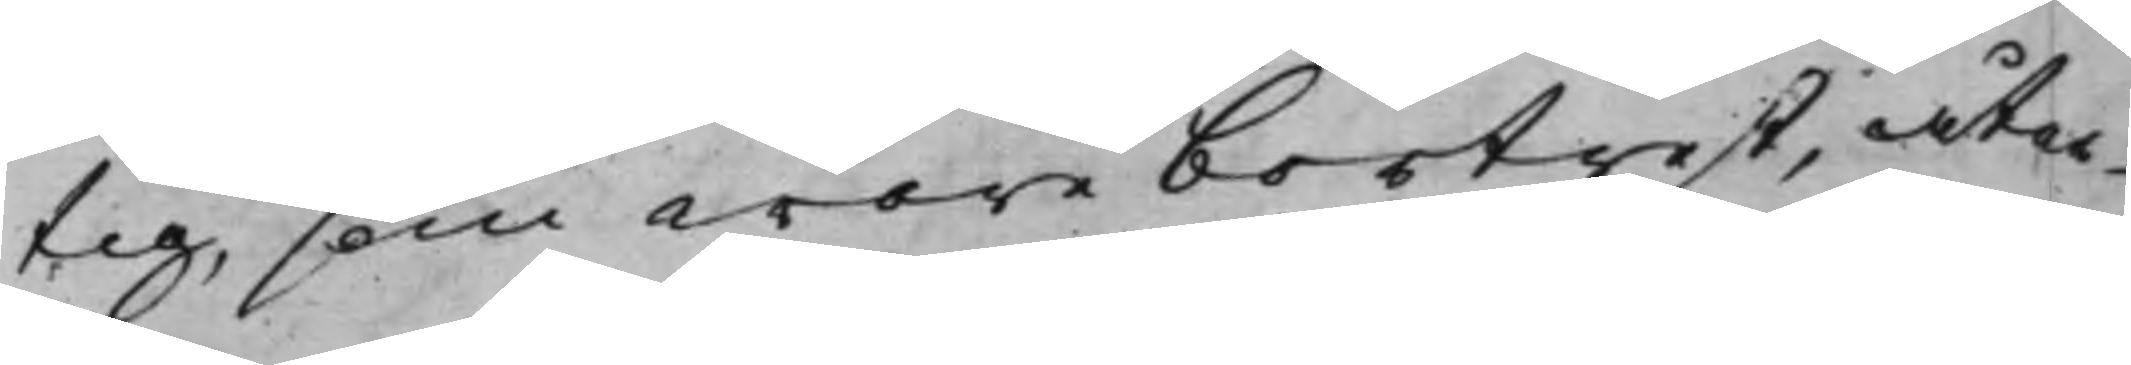tig, som wore bortrest, åter¬
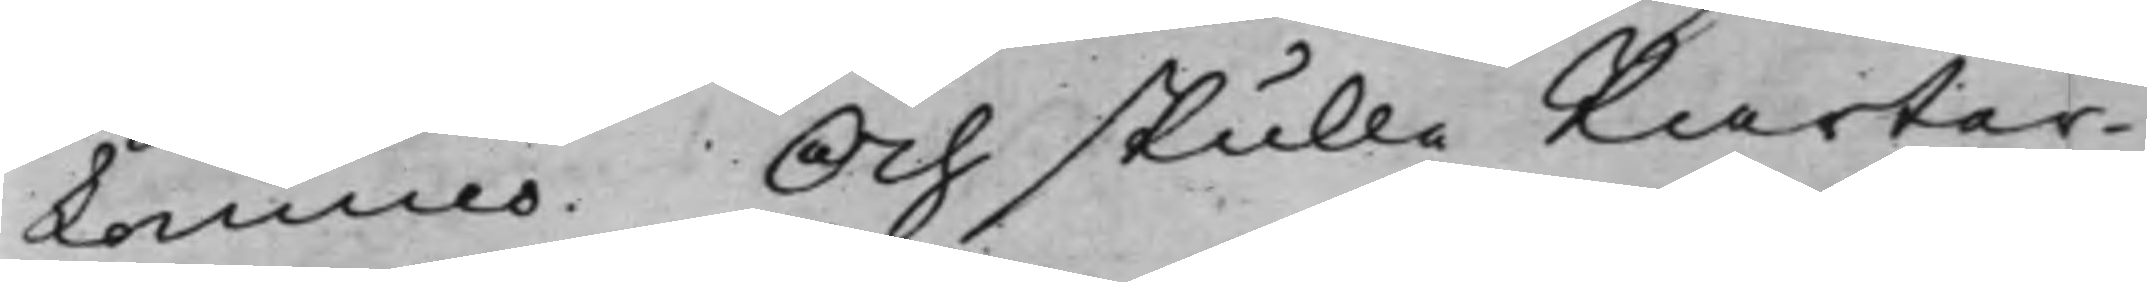kommo. Och skulle Parter¬
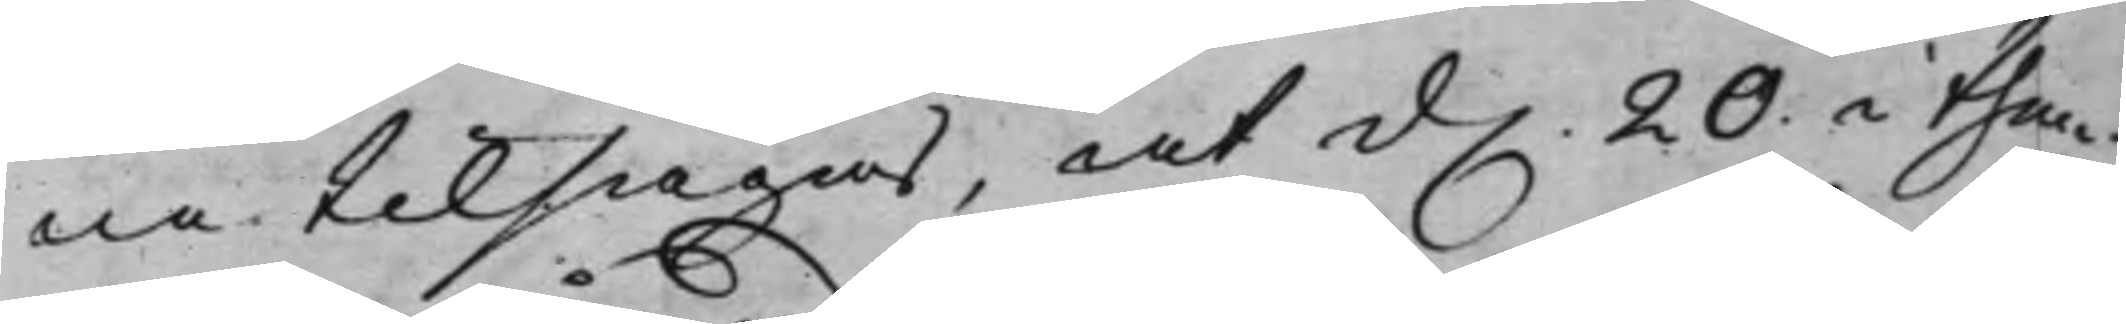ne tilsägas, at d. 20 i then¬
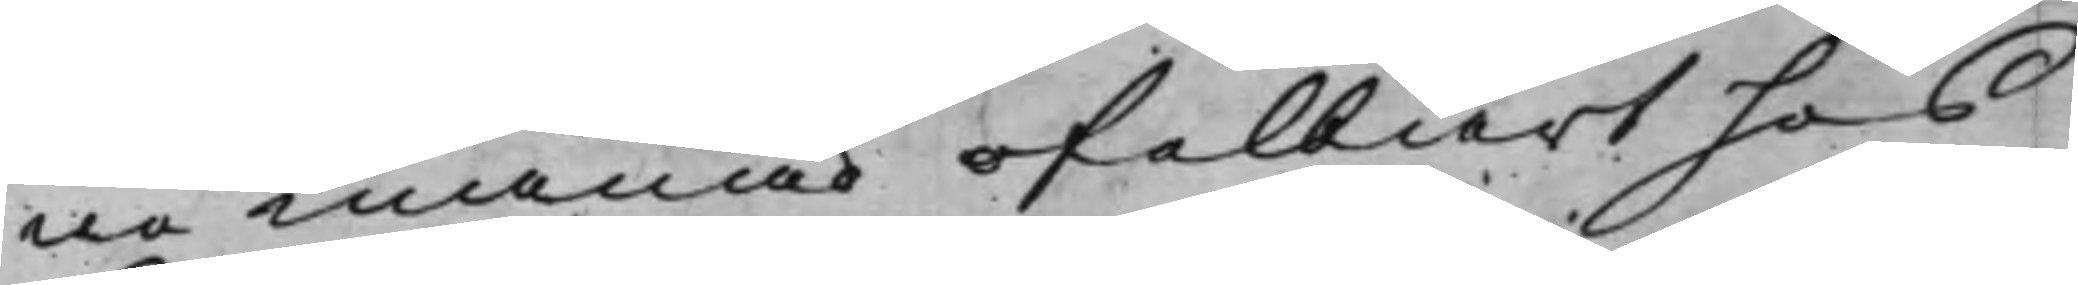ne månad ofelbart hos
